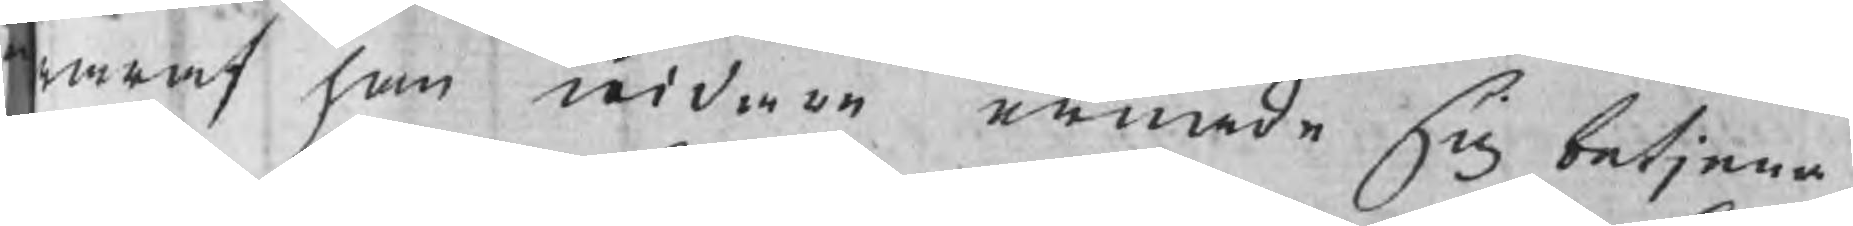araf han widare ernade sig betjena,
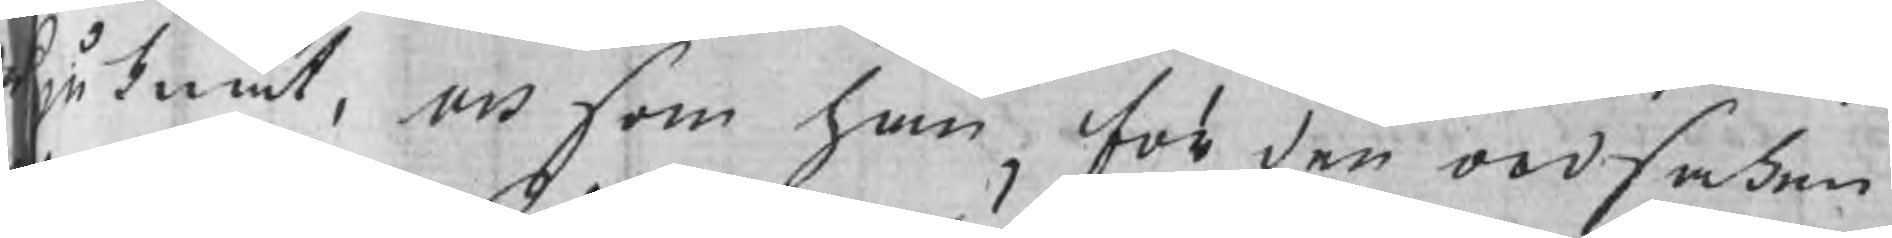juknat, och som ahn för den ordsaken
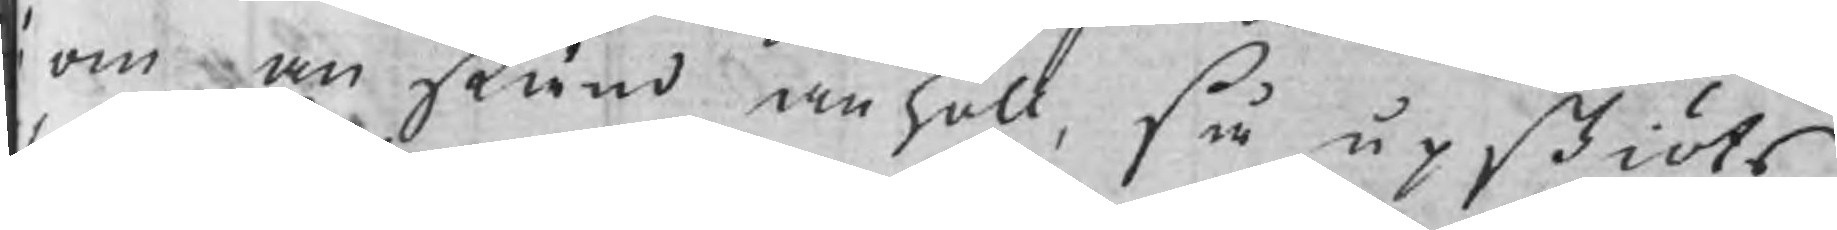om anstånd anhöll, så upskiöts
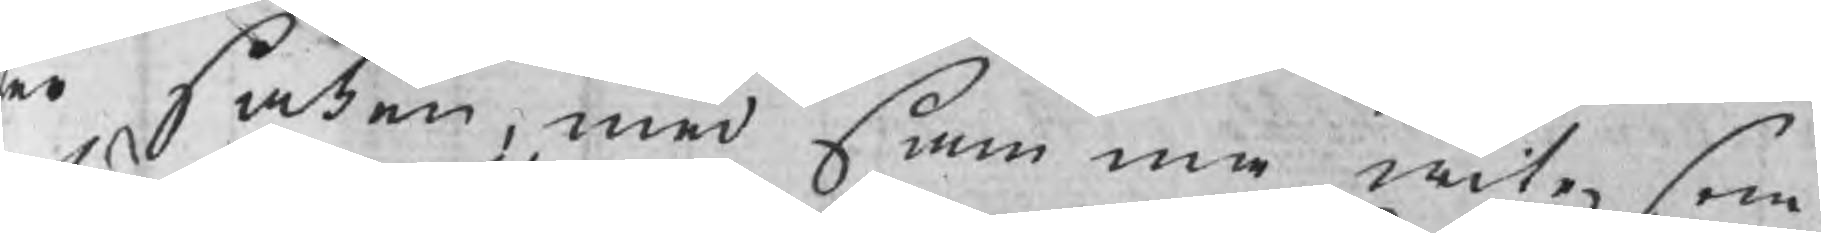er saken, med samma wite, som
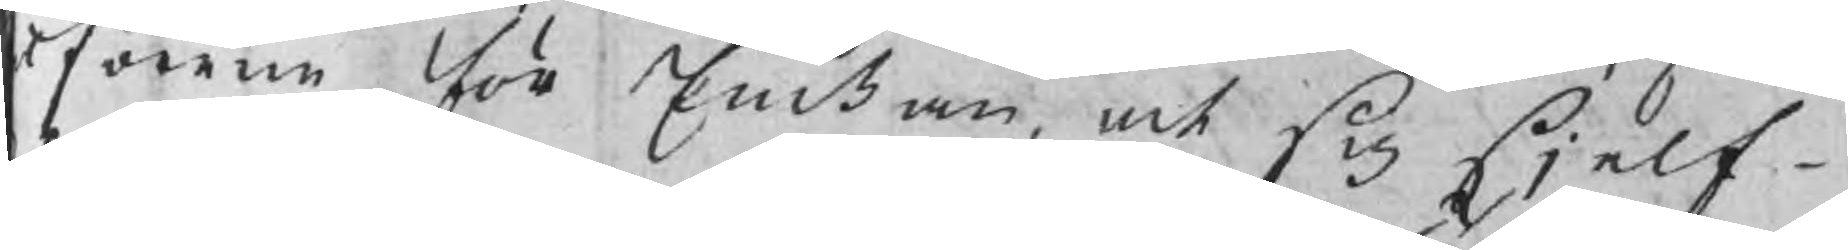lförne för Enckan, och sig sjelf¬
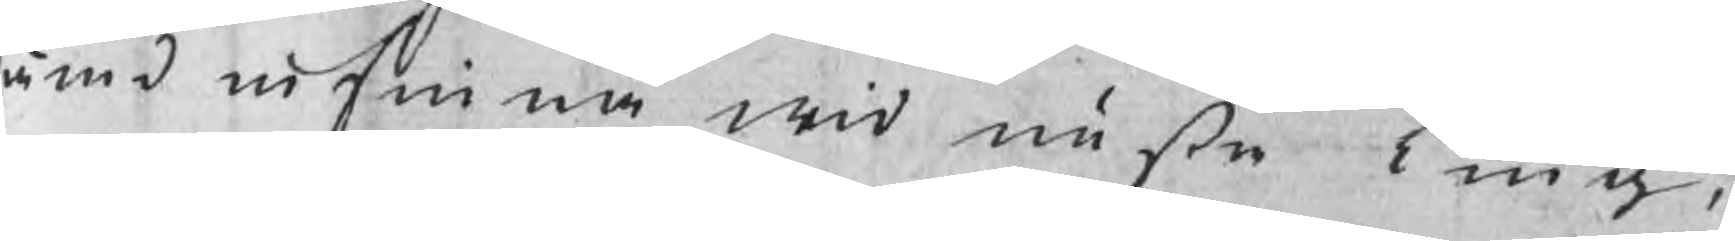ämd infinna wid nästa Ting.
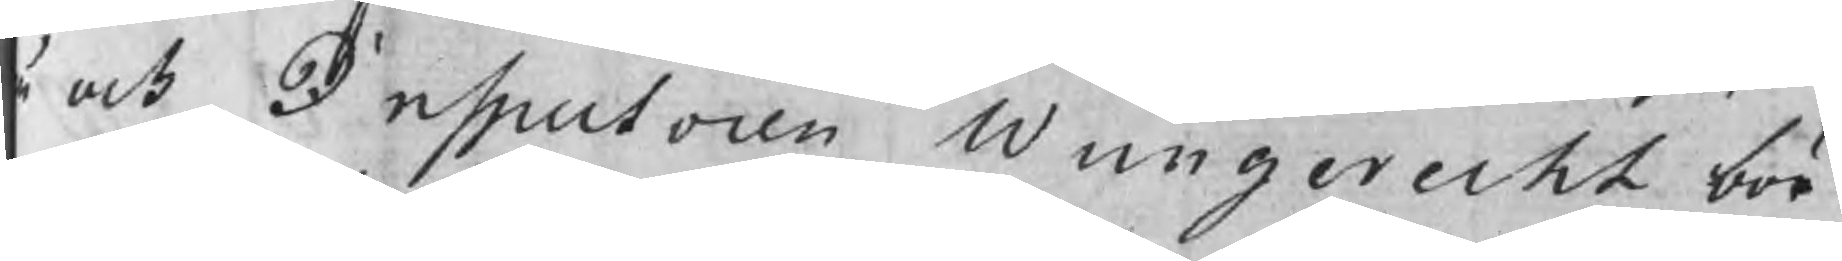ä och Inspectoren Wungerecht bör
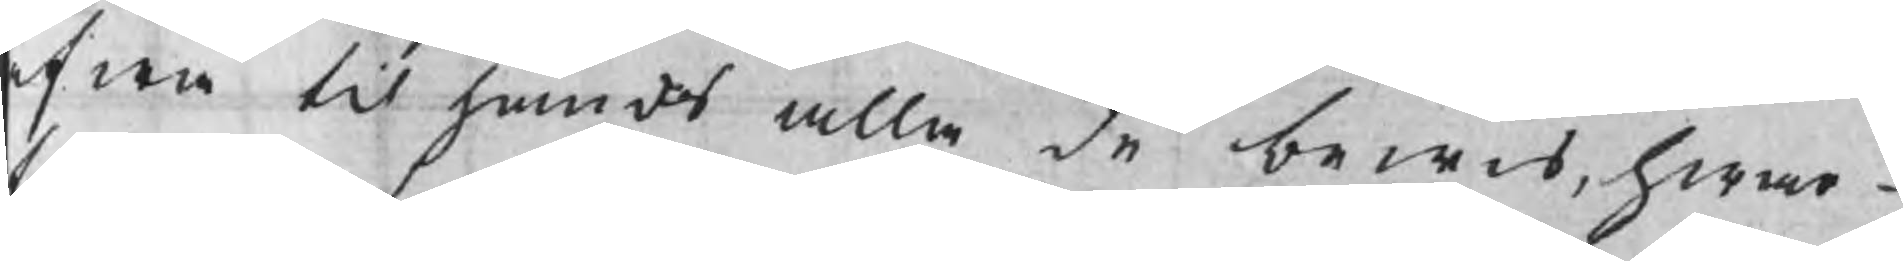fwen til hands alla de bewis, hwar¬
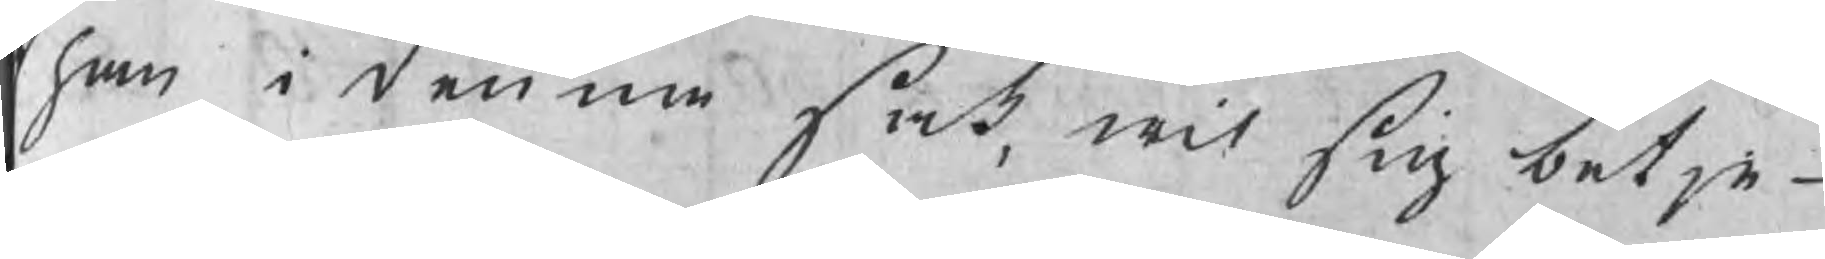t han i denna sak, wil sig betje¬
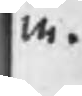a.
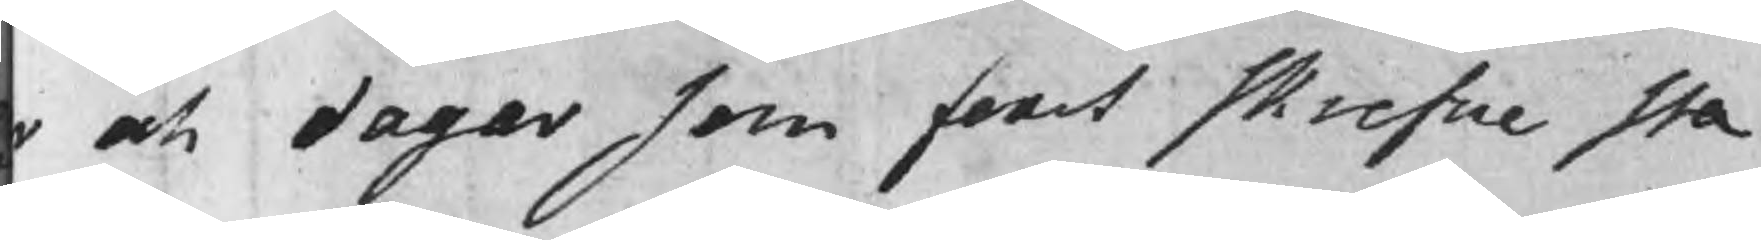r och dagar som forst skrefne sta
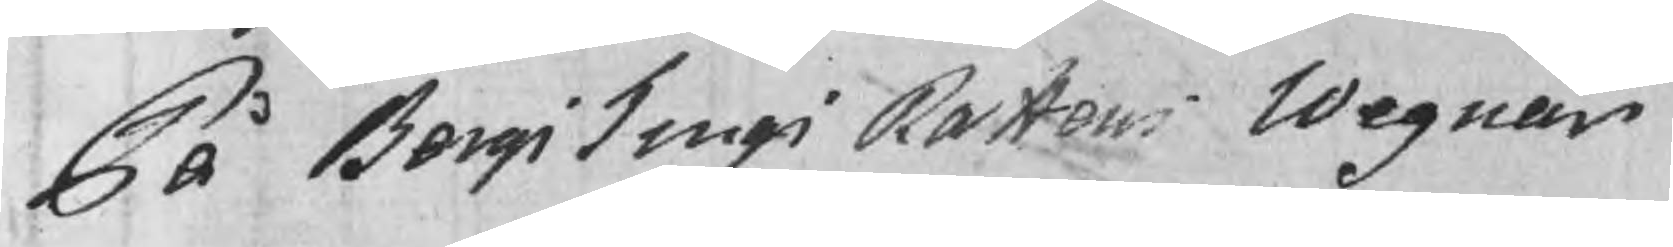På BergsTingsRattens Wegnar
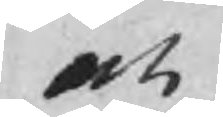och
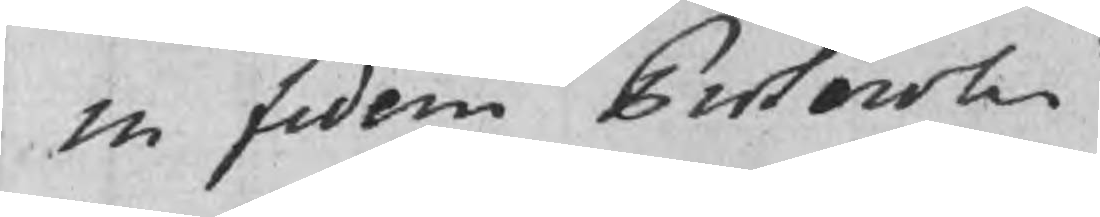in fidem Protocolii
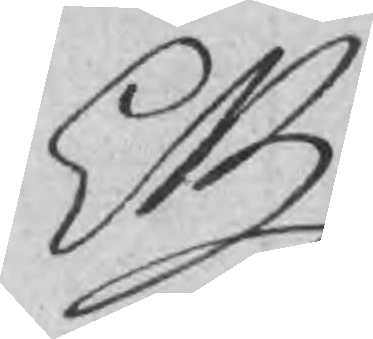EB
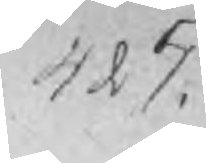425.
